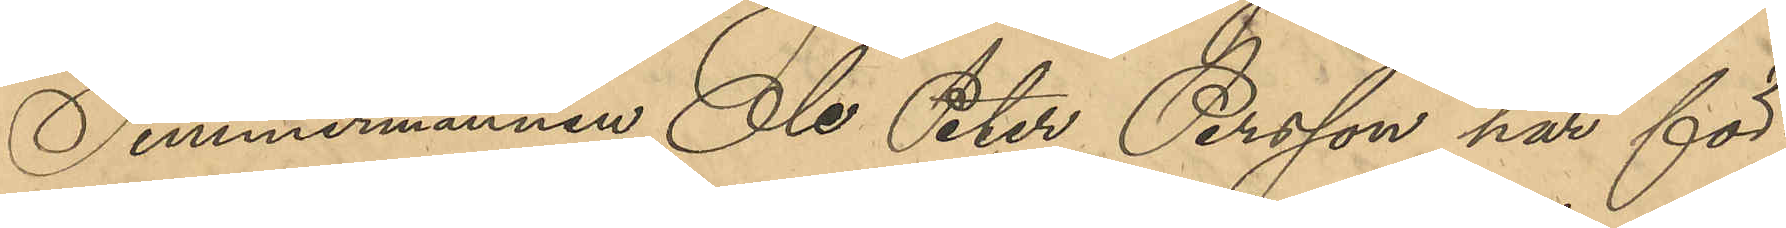Timmermannen Ole Peter Persson har för¬
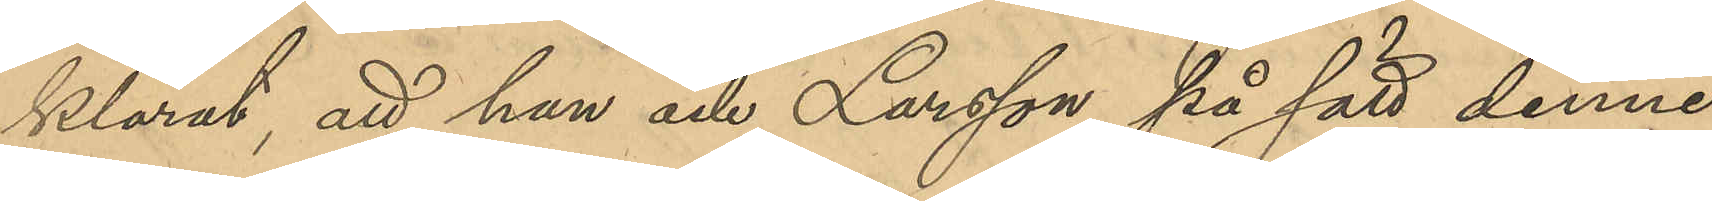klarat, att han och Larsson på sätt denne
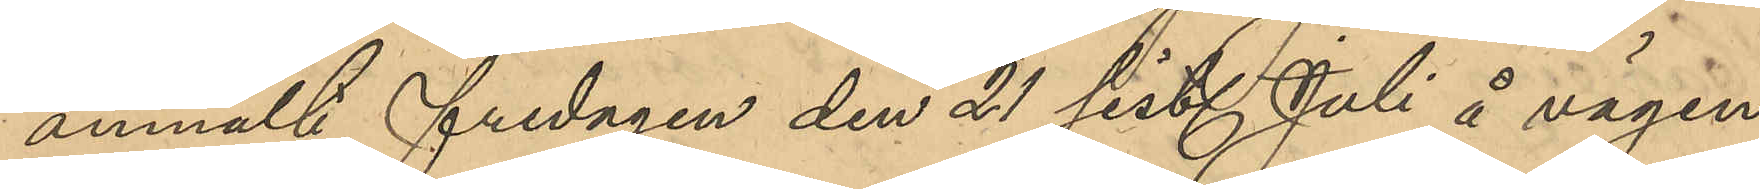anmält, fredagen den 21 sist. Juli å vägen
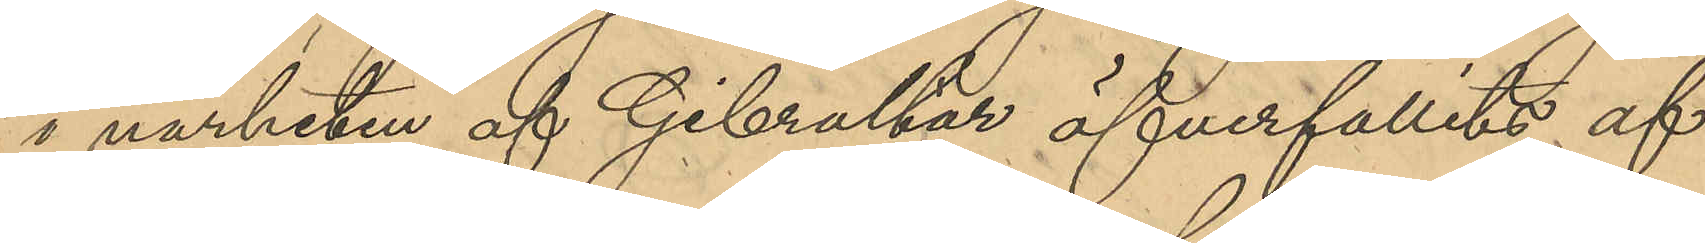i narheten af Gibraltar öfverfallits af
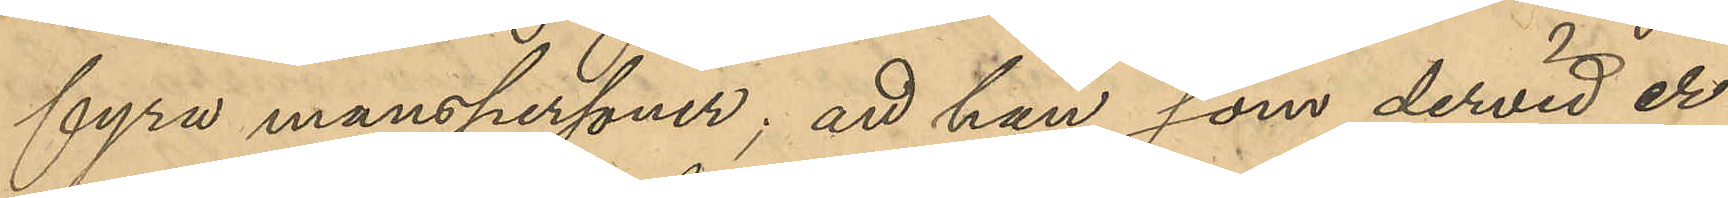fyra manspersoner; att han som dervid er¬
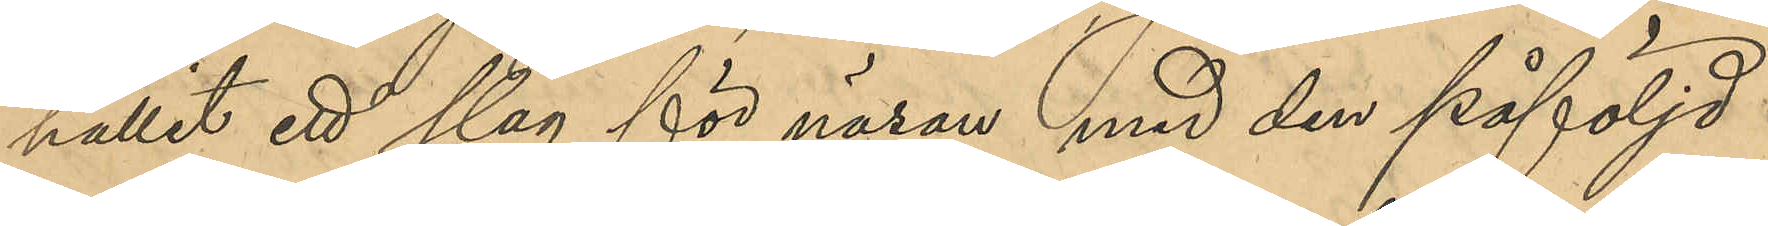hållit ett slag för näsan med den påföljd
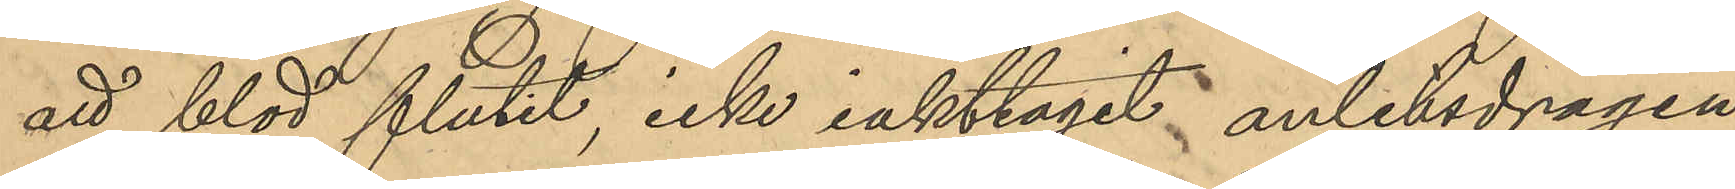att blod flutit, icke iakttagit anletsdragen
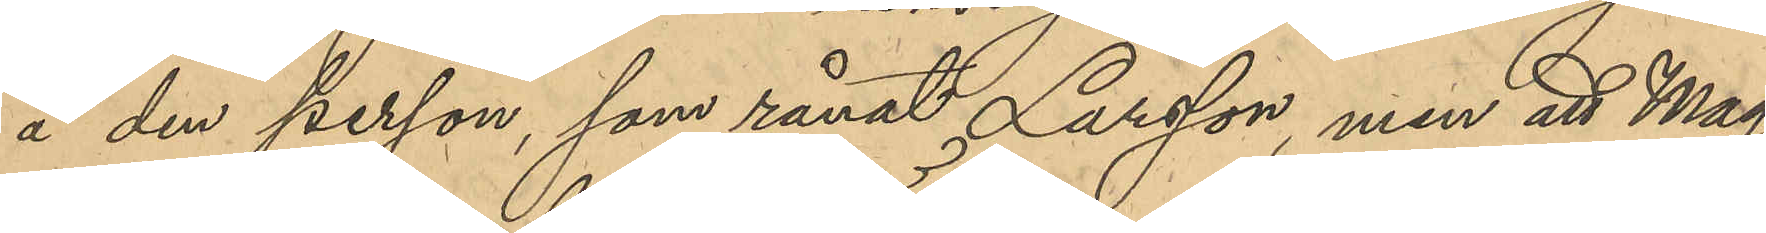å den person, som rånat Larsson, men att Mag¬
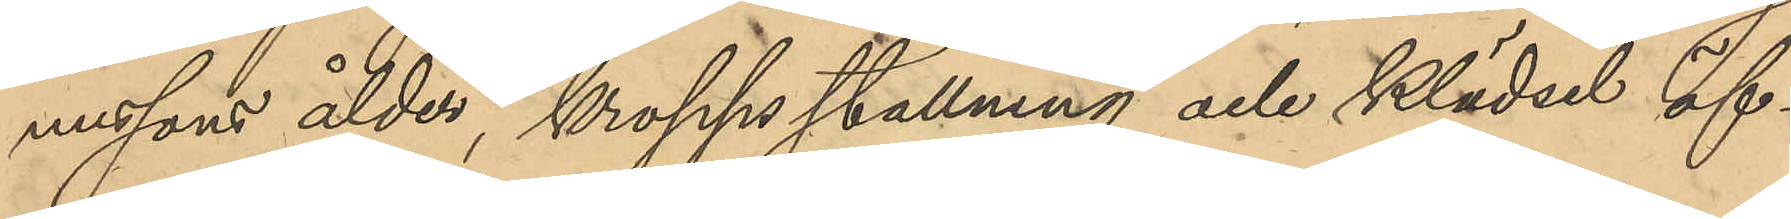nussons ålder, kroppsställning och klädsel öf¬
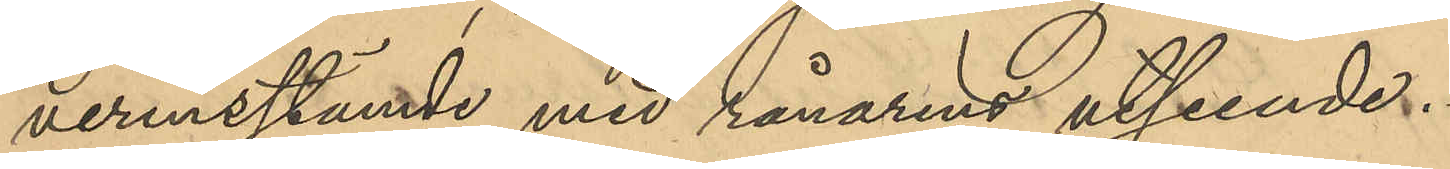verensstämde med rånarens utseende.
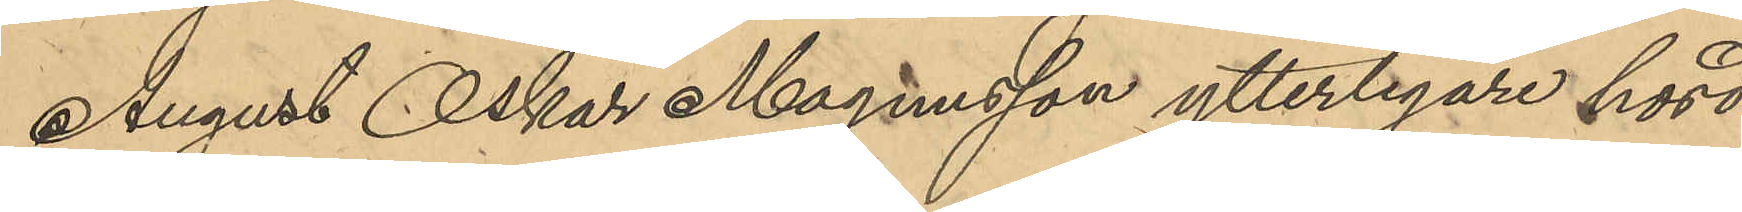August Oskar Magnusson ytterligare hörd
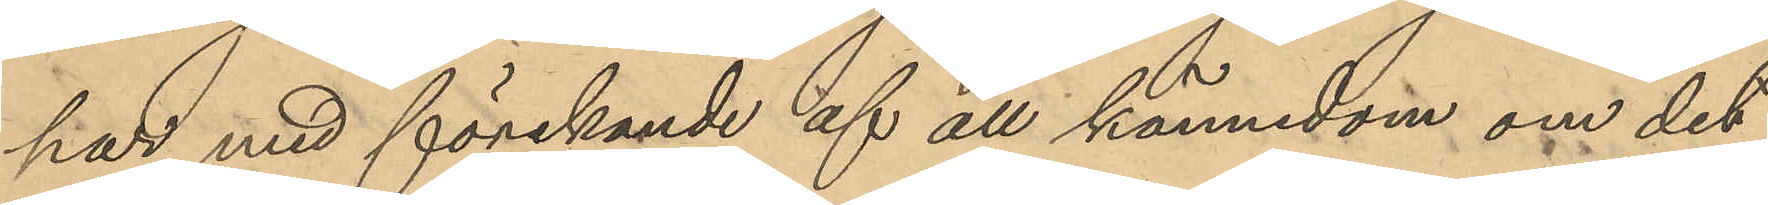har, med förnekande af all kännedom om det
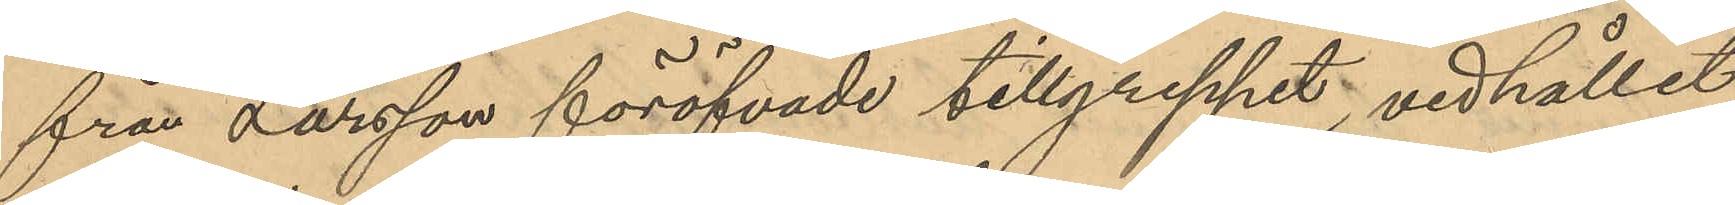från Larsson föröfvade tillgreppet, vidhållit
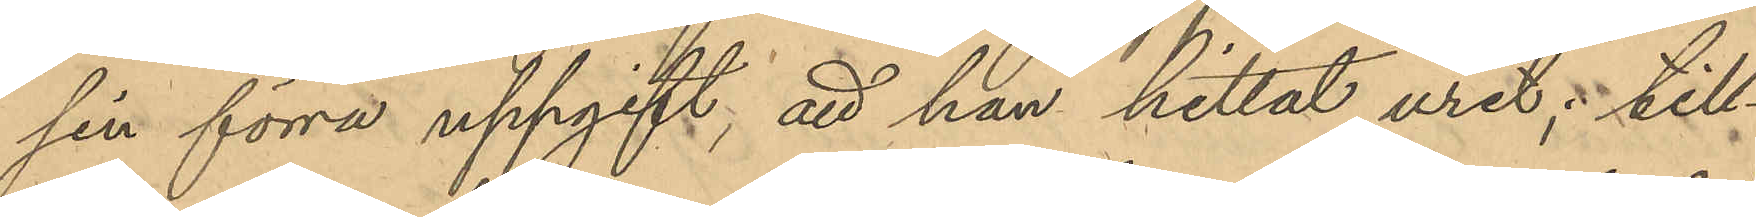sin förra uppgift; att han hittat uret; till¬
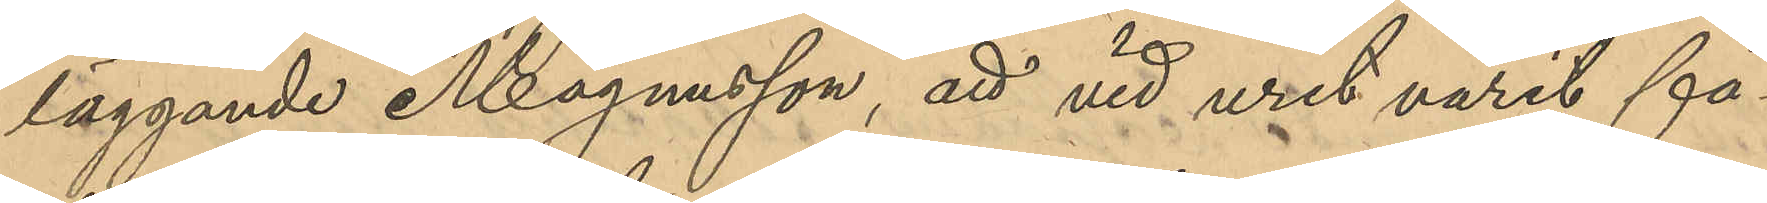läggande Magnusson, att vid uret varit fä¬
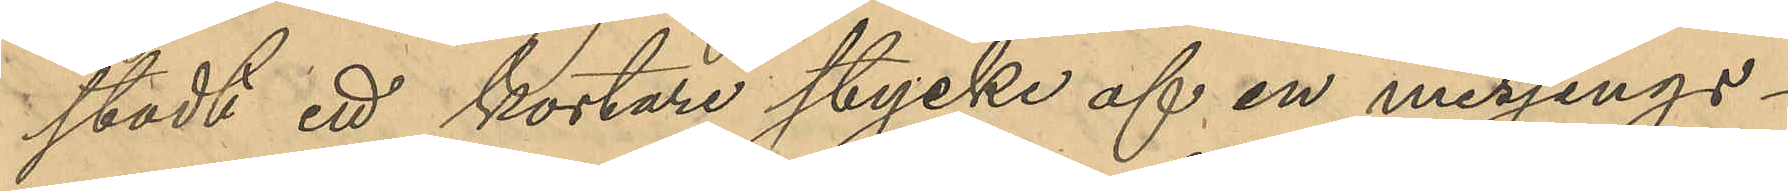stadt ett kortare stycke af en messings¬
